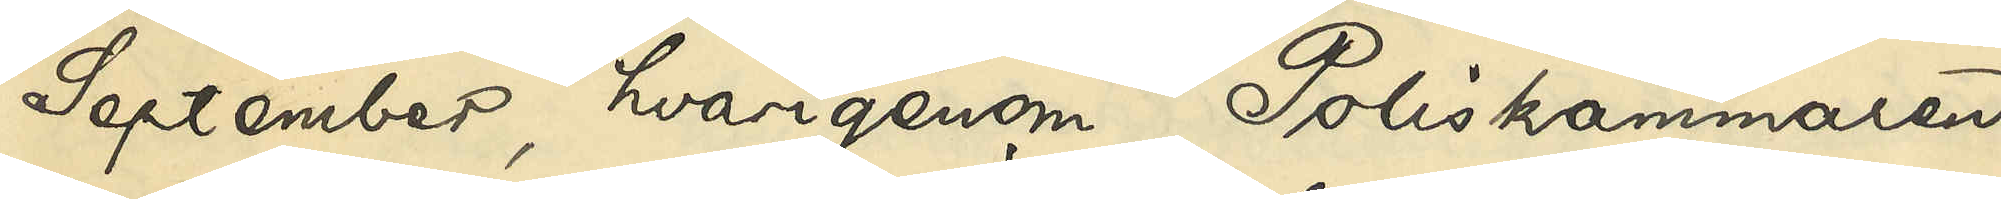September, hvarigenom Poliskammaren
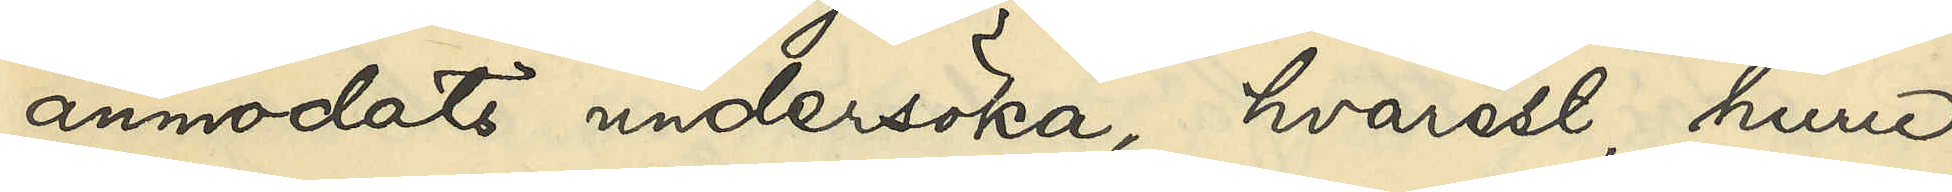anmodats undersöka, hvarest, huru
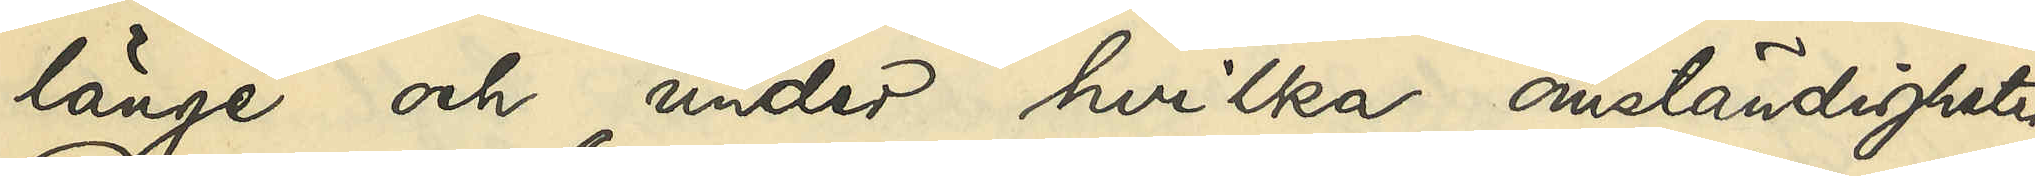länge och under hvilka omständigheter
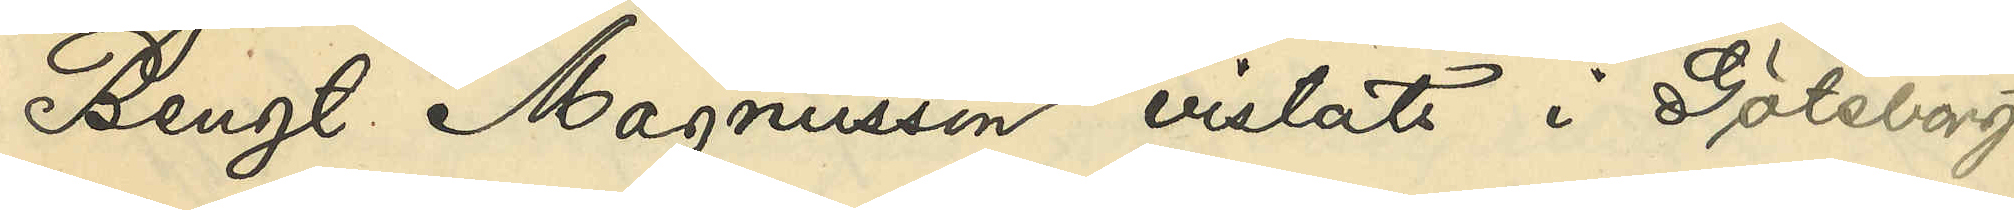Bengt Magnusson vistats i Göteborg
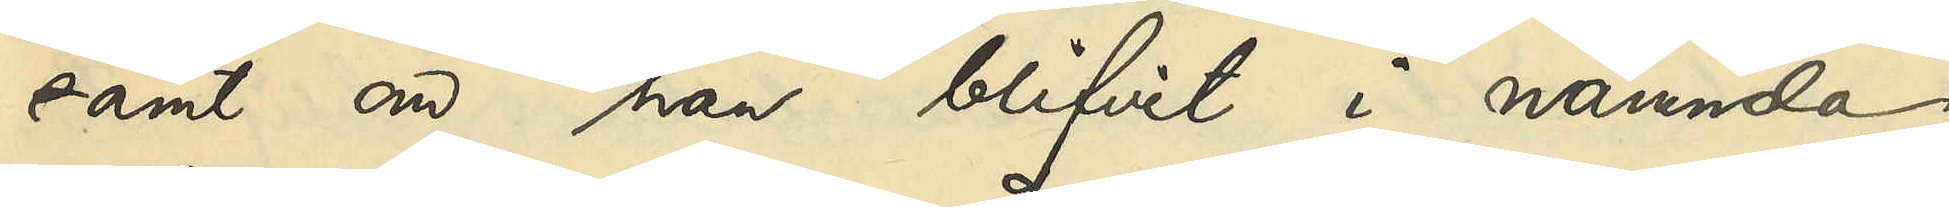samt om han blifvit i nämnda
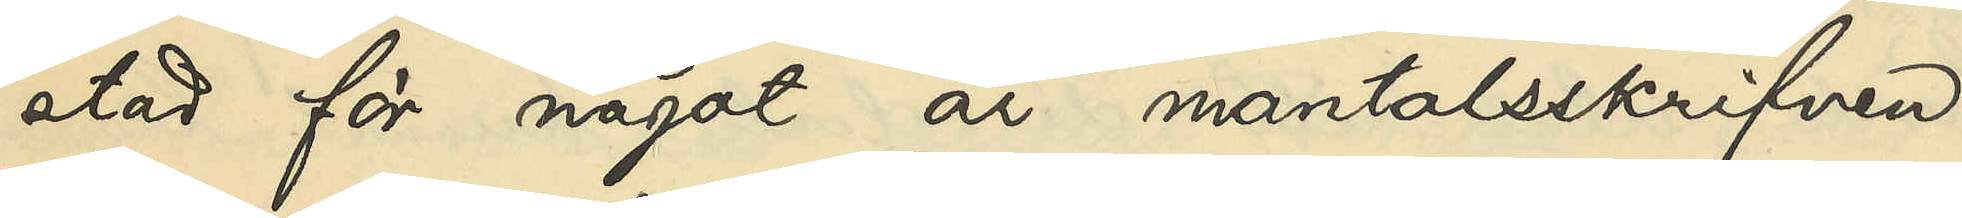stad för något år mantalsskrifven,
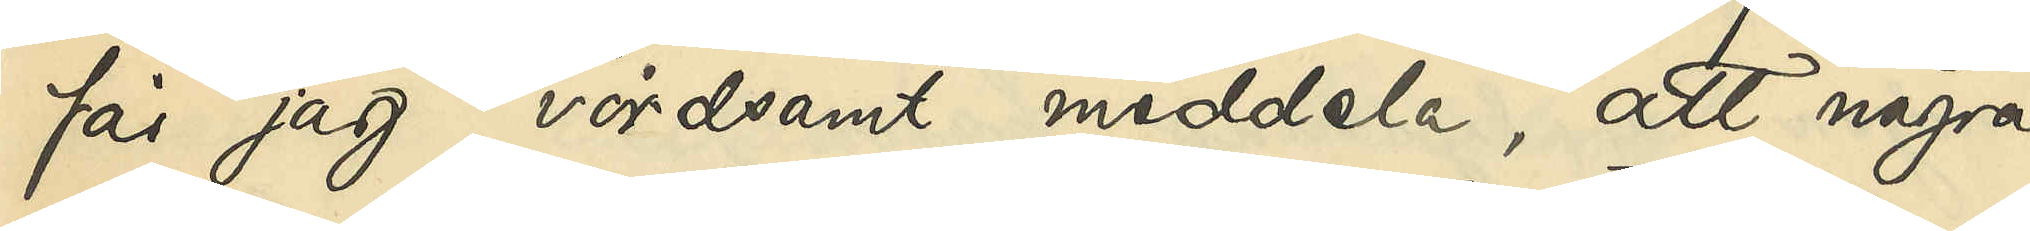får jag vördsamt meddela, att några
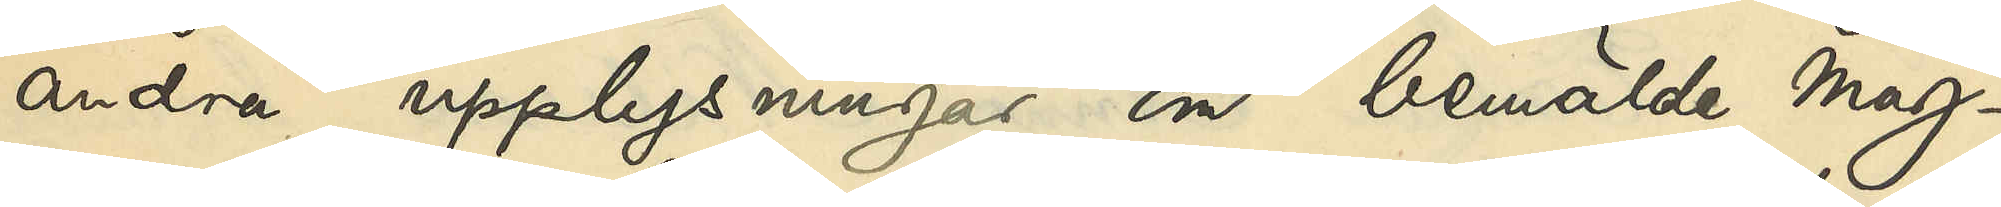andra upplysningar om bemälde Mag¬
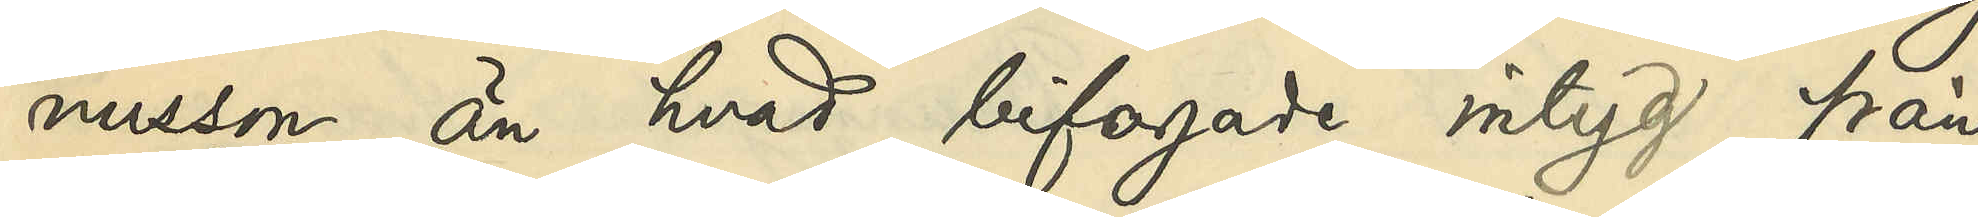nusson än hvad bifogade intyg från
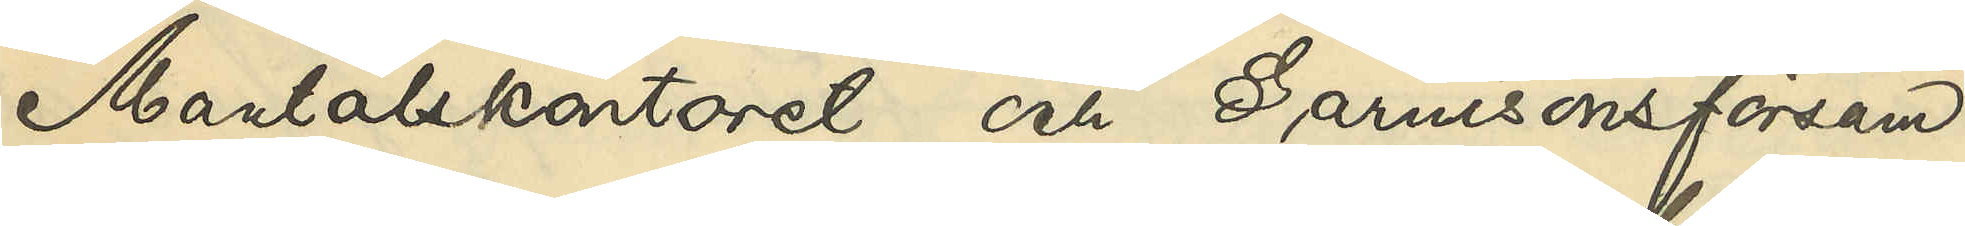Mantalskontoret och Garnisonsförsam¬
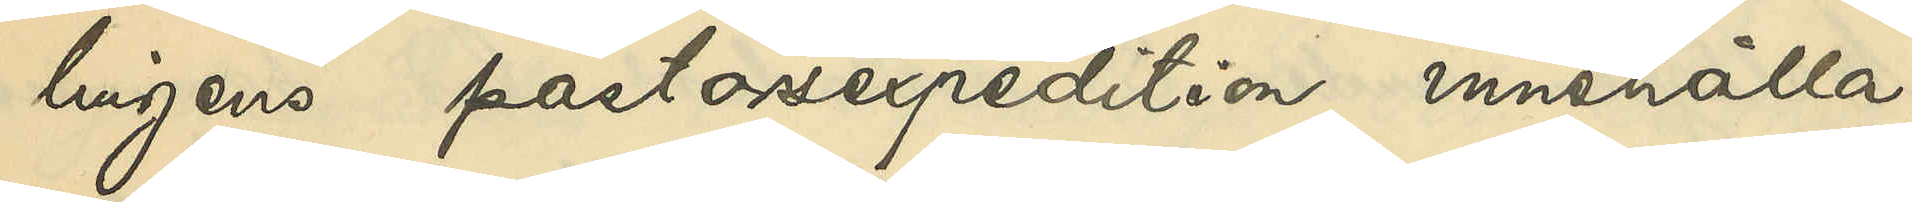lingens pastorsexpedition innehålla,
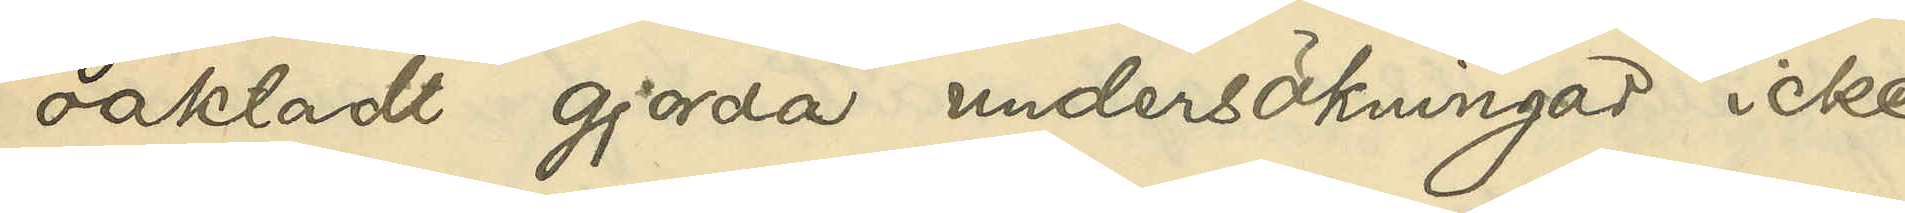oaktadt gjorda undersökningar icke
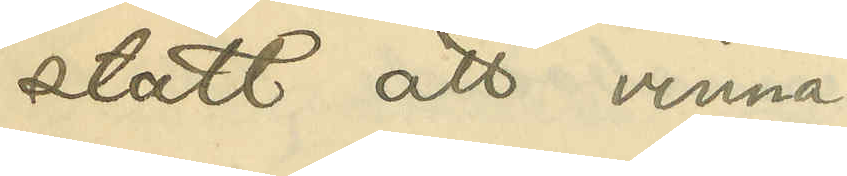stått att vinna.
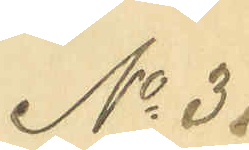No 31
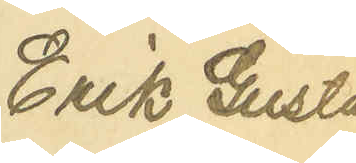Erik Gustaf
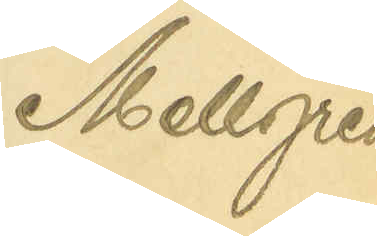Mellgren
